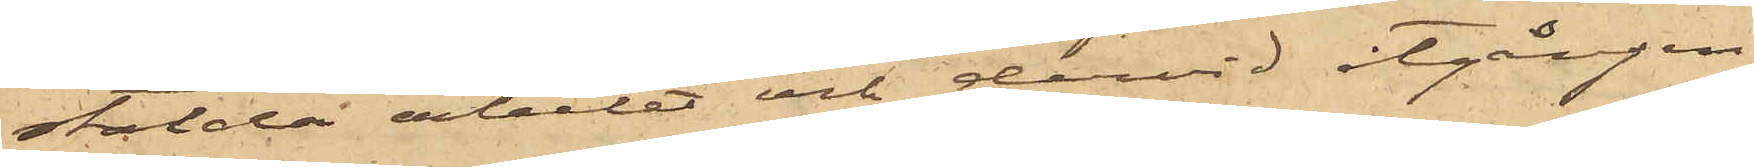stälda arbetet och dervid åtgången
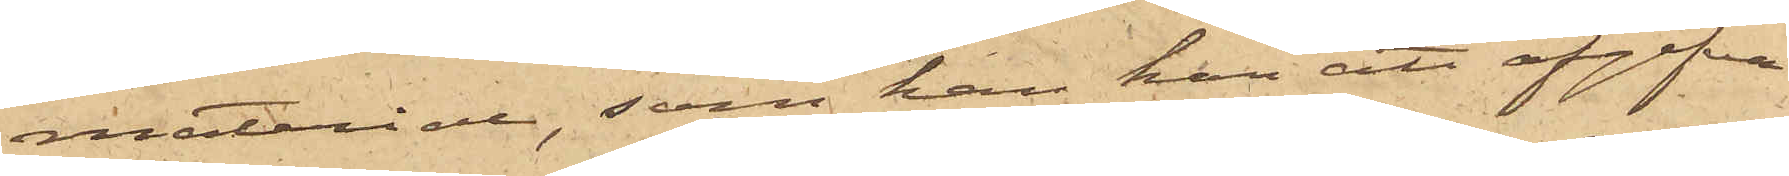materiel, som han har att afgifva
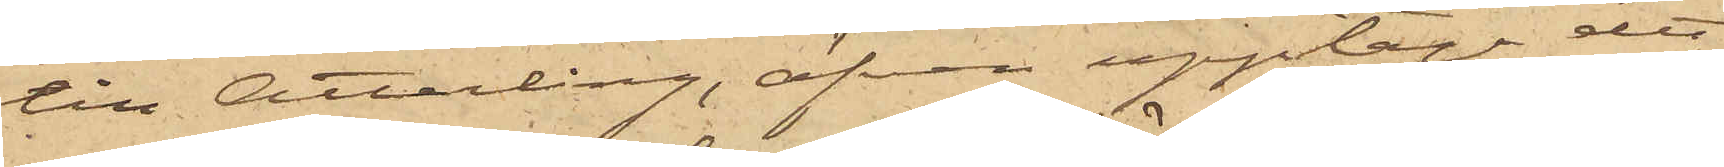till Atterling, äfven upptaga det
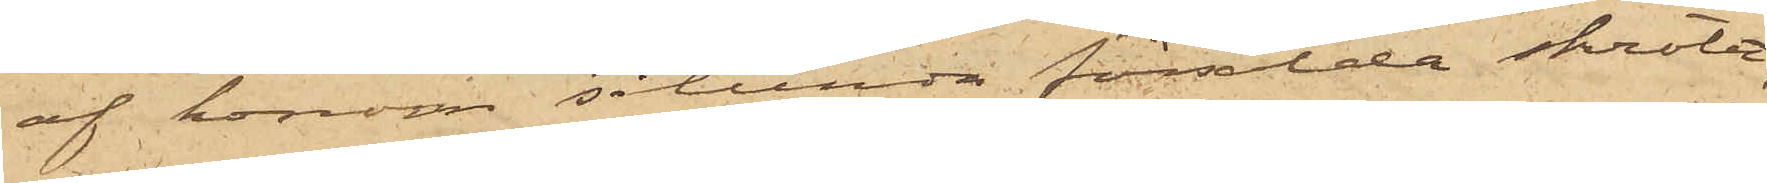af honom sålunda försålda skrotet,
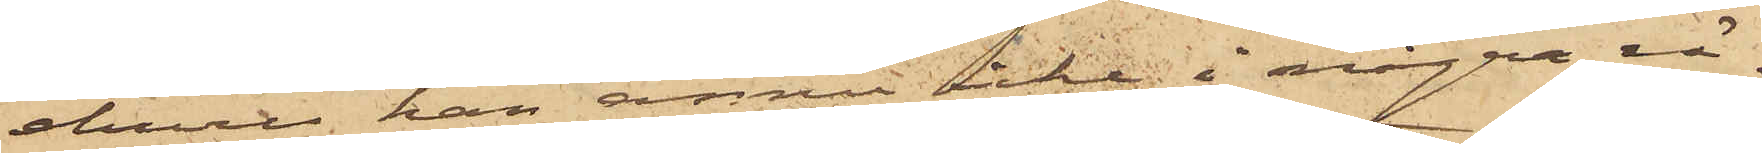ehuru han ännu icke i några rä¬
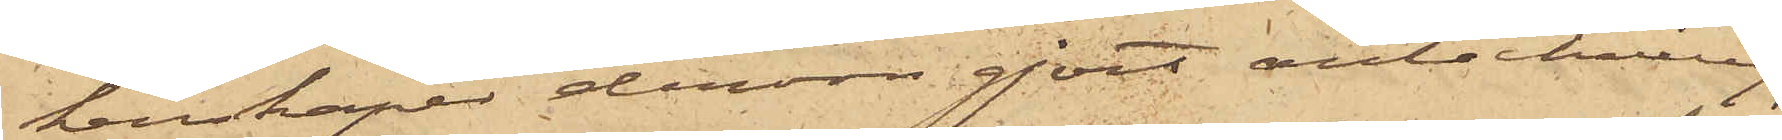kenskaper derom gjort anteckning;
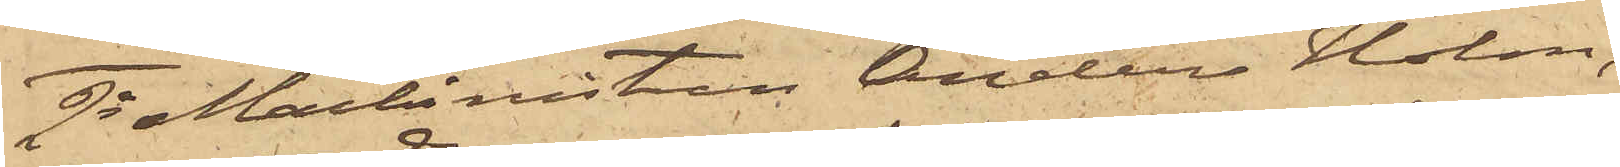2o Maskinisten Anders Holm,
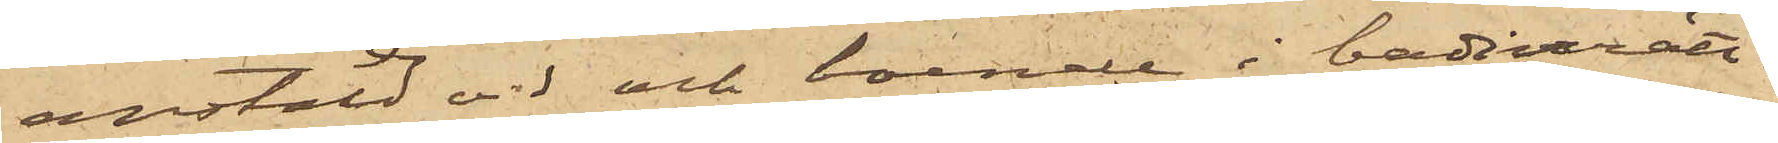anstäld vid och boende i badinrätt¬
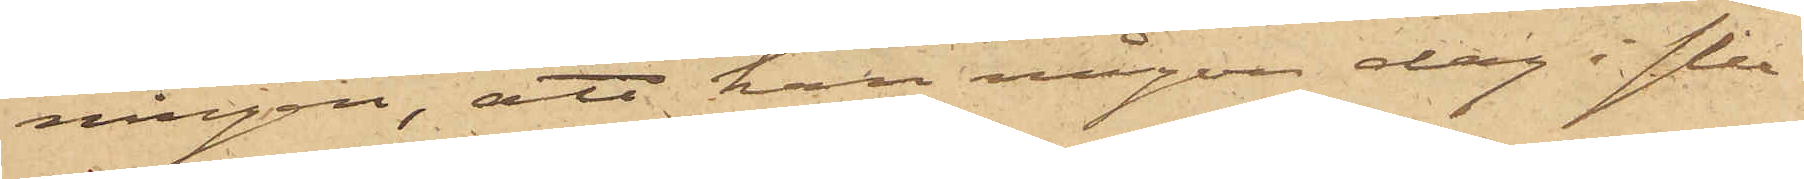ningen, att han någon dag i slu¬
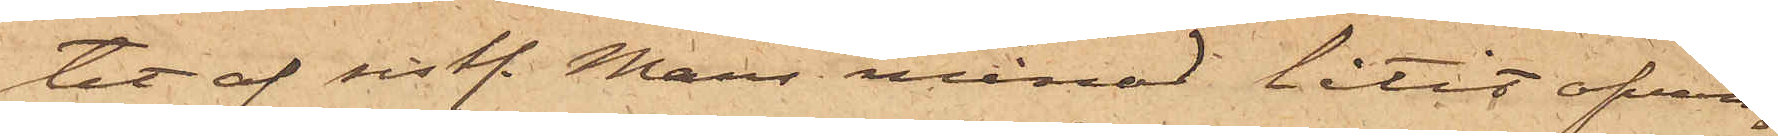tet af sist. Mars månad låtit ofvan¬
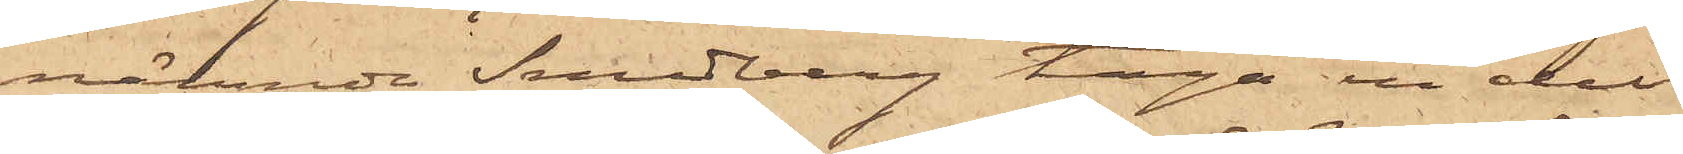nämnde Sundberg taga en del
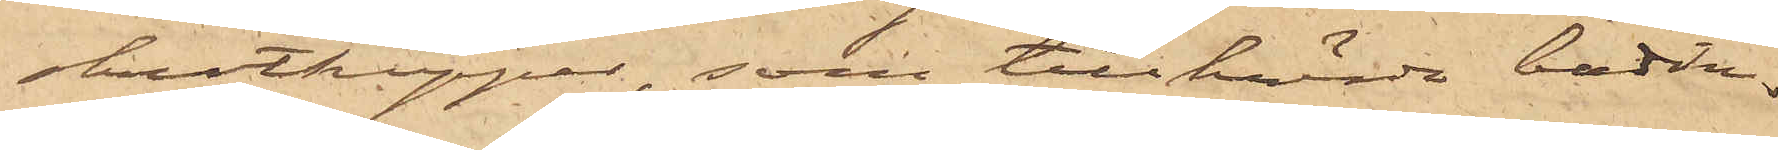skrotkoppar, som tillhörde badin¬
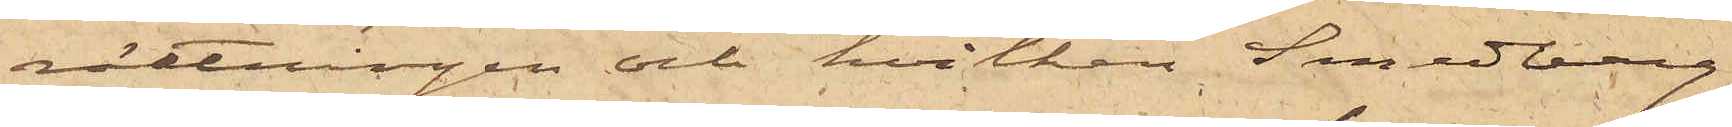rättningen och hvilken Sundberg
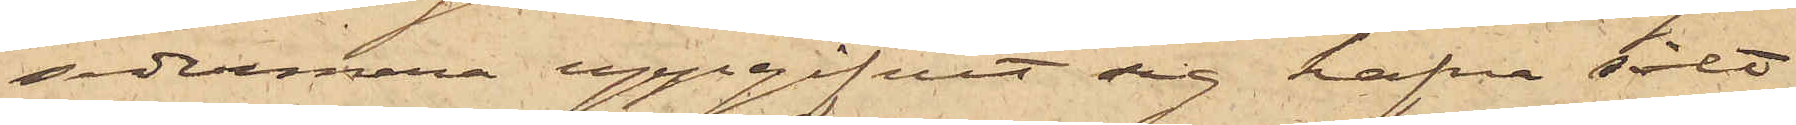sedermera uppgifvit sig hafva sålt
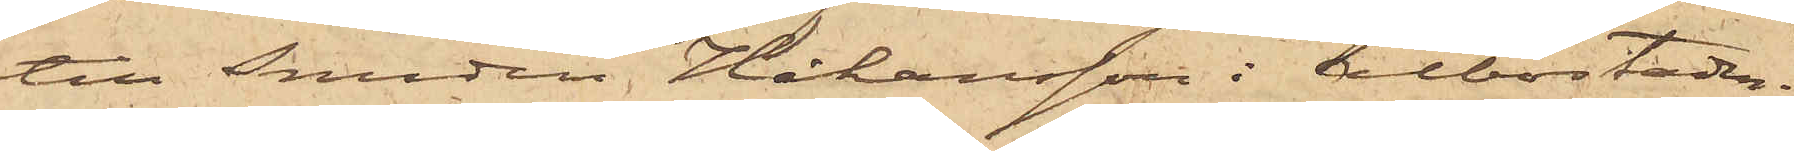till smeden Håkansson i Albostaden;
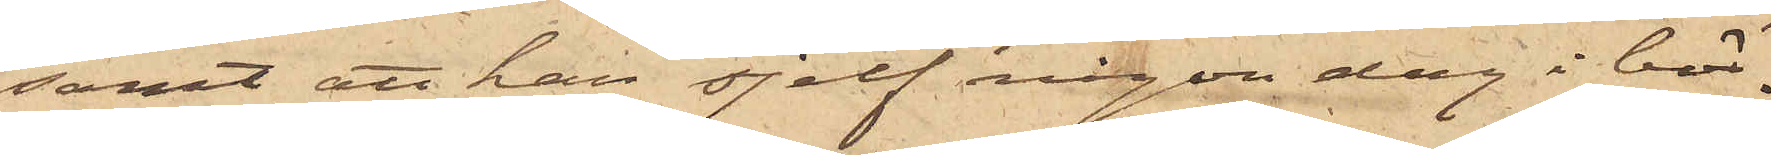samt att han sjelf någon dag i bör¬
